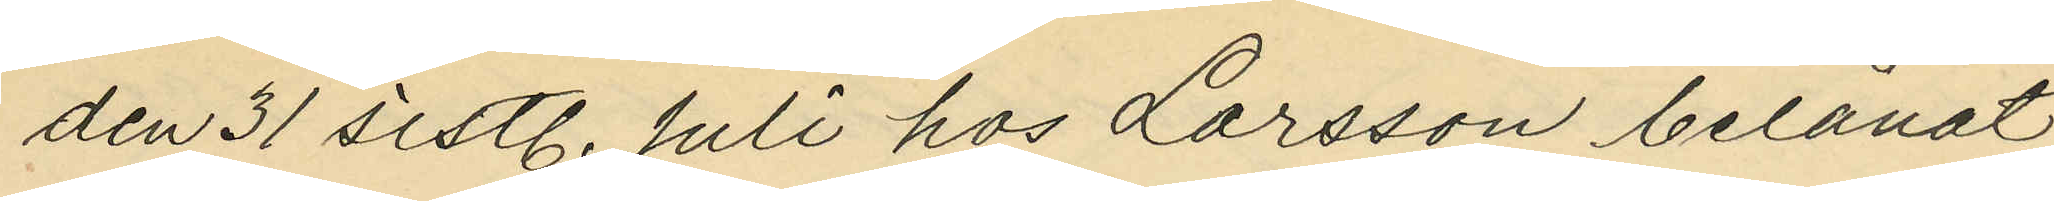den 31 sistl. Juli hos Larsson belånat
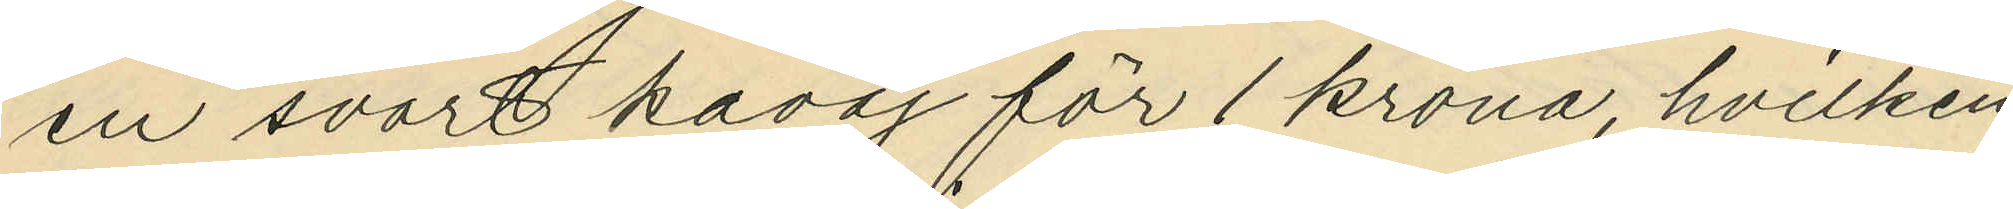en svart kavaj för 1 krona, hvilken
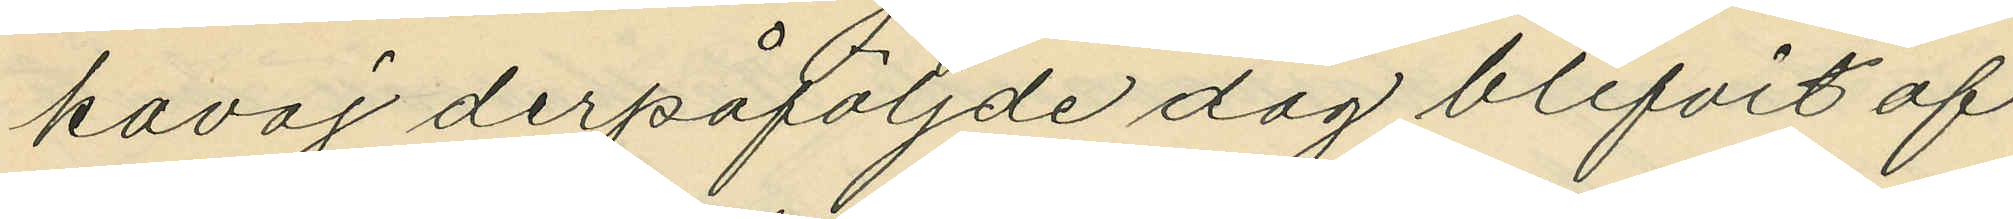kavaj derpåföljde dag blifvit af
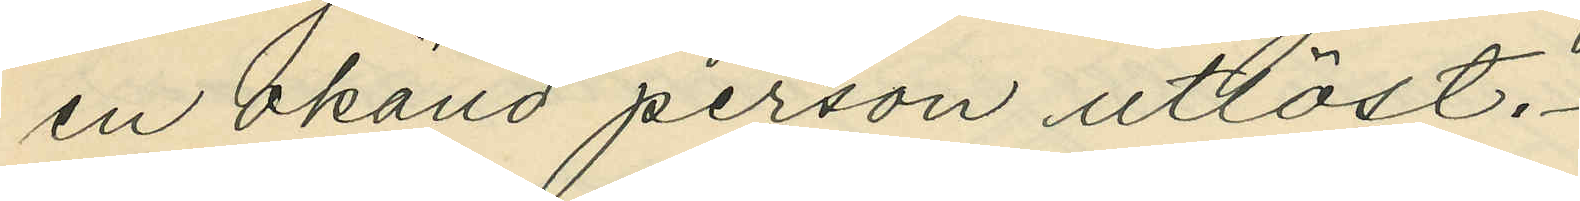en okänd person utlöst.
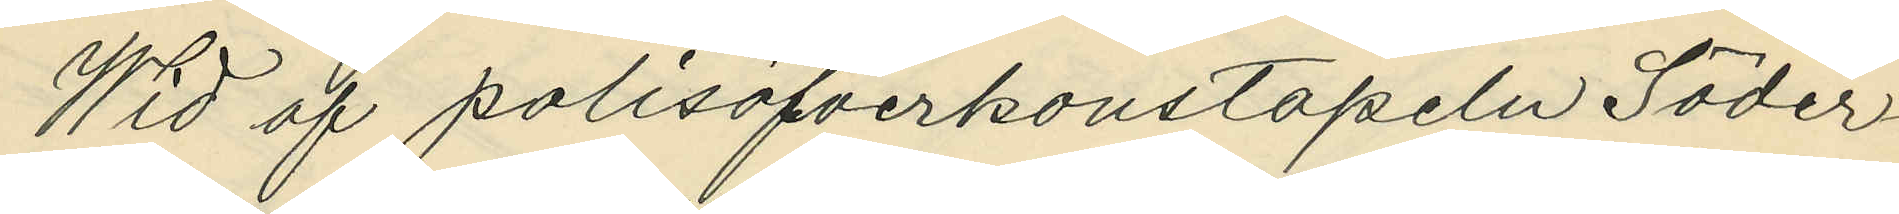Wid af polisöfverkonstapeln Söder¬
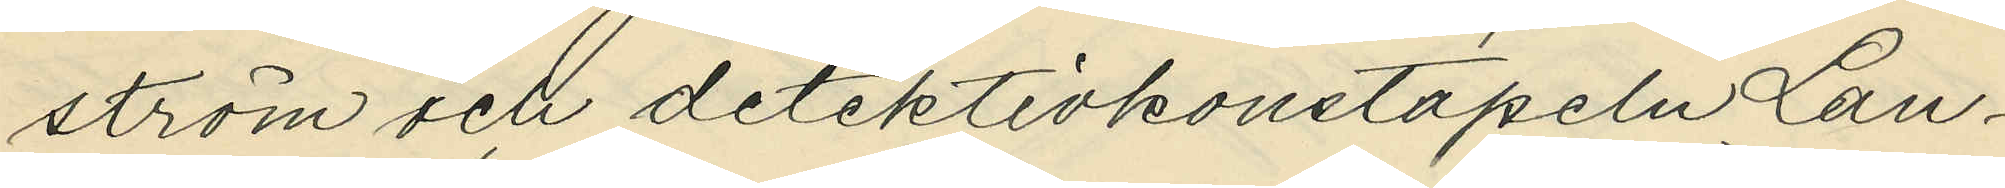ström och detektivkonstapeln Lan¬
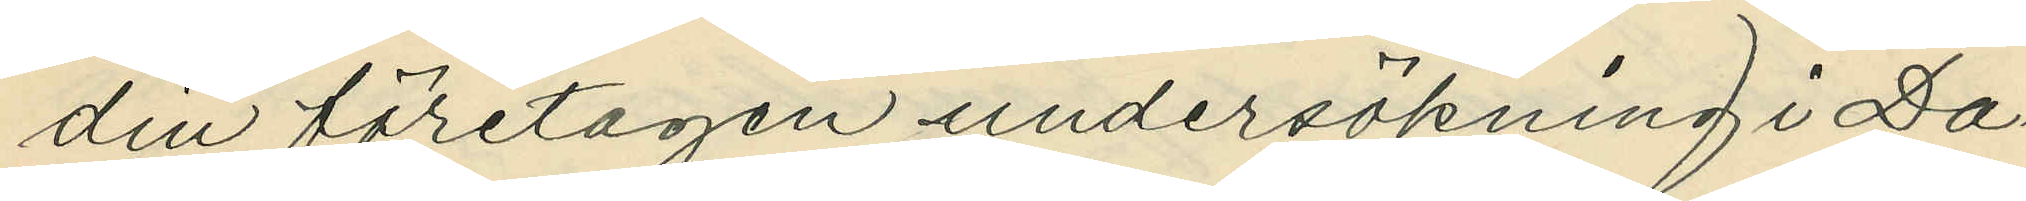din företagen undersökning i Da¬
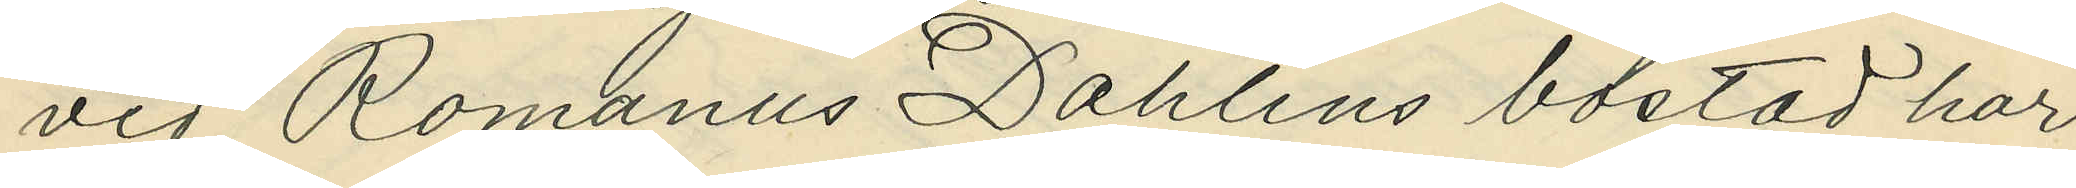vid Romanus Dahlins bostad har
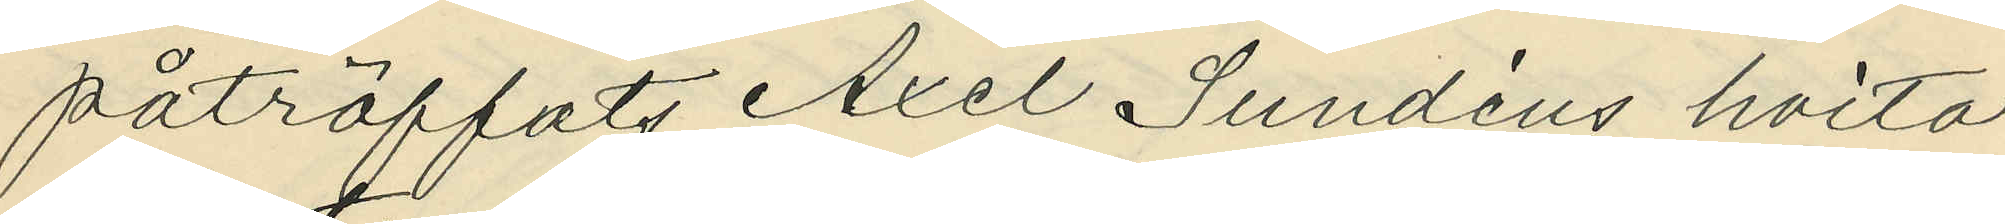påträffats Axel Sundéns hvita
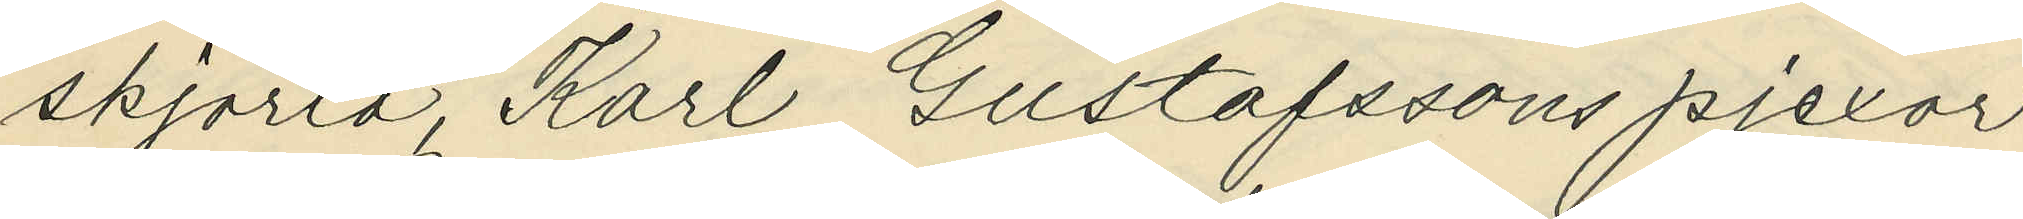skjorta, Karl Gustafssons pjexor
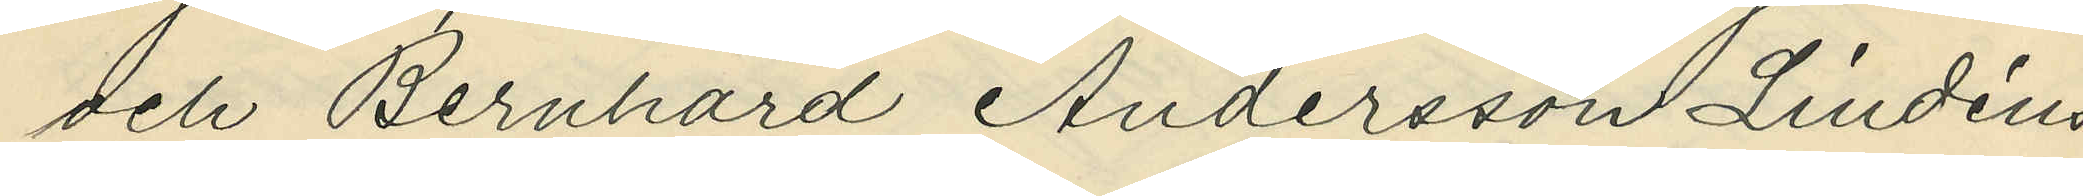och Bernhard Andersson Lindéns
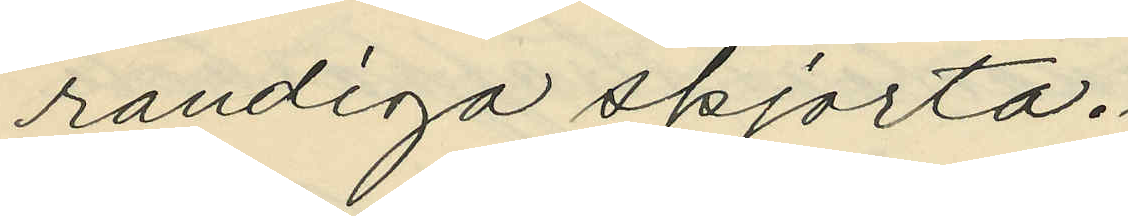randiga skjorta.
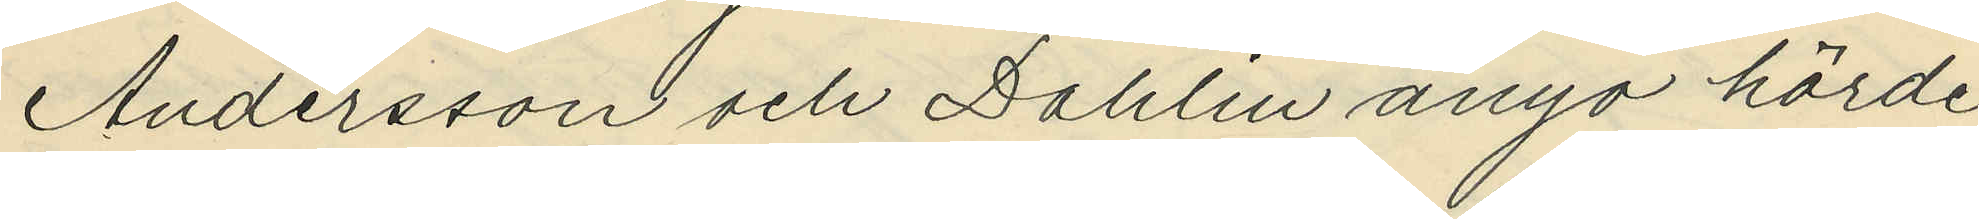Andersson och Dahlin ånyo hörde
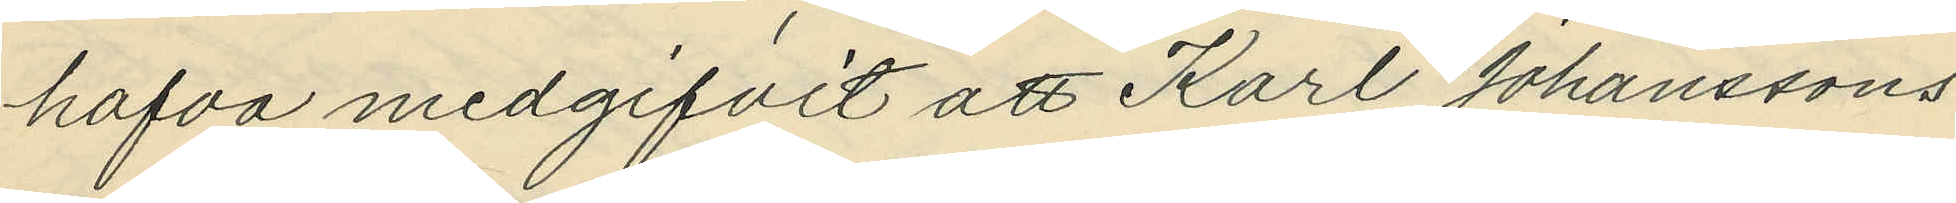hafva medgifvit att Karl Johanssons
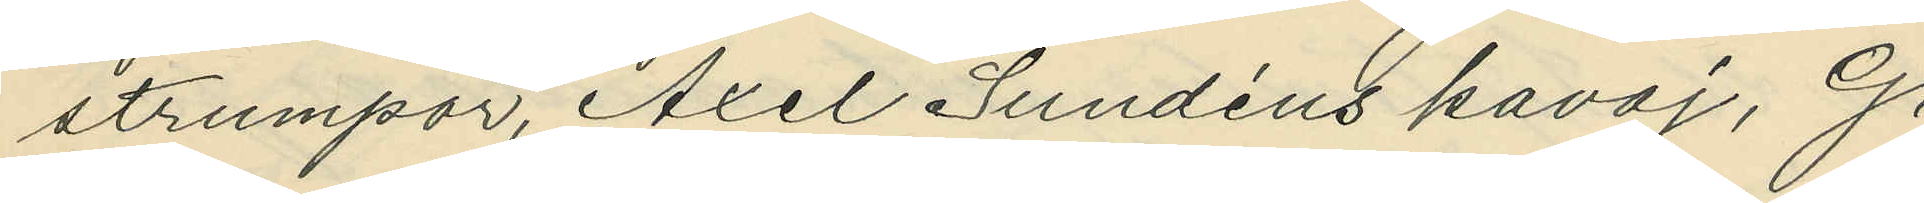strumpor, Axel Sundéns kavaj, G.
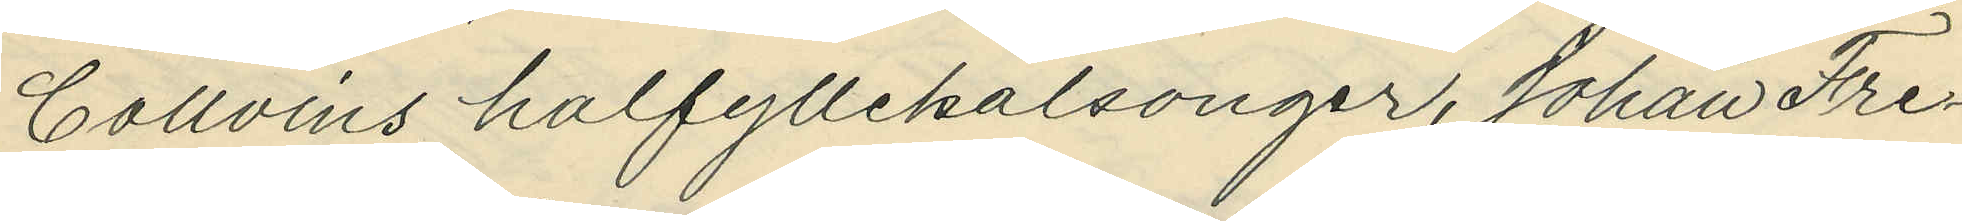Collvins halfyllekalsonger, Johan Fre¬
